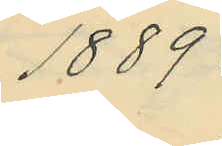1889.
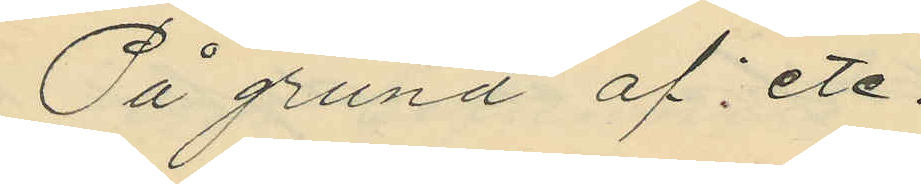På grund af etc.
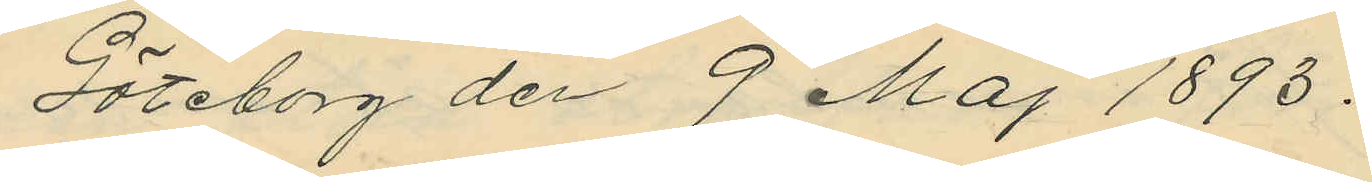Göteborg den 9 Maj 1893.
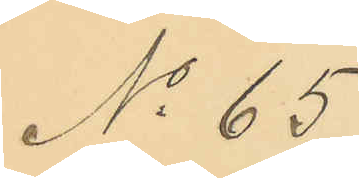No 65
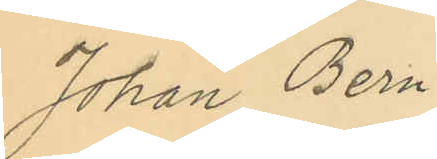Johan Bern¬
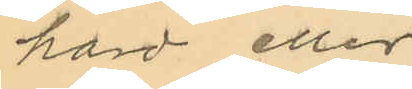hard eller
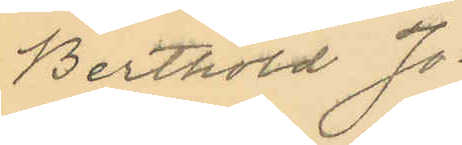Berthold Jo¬
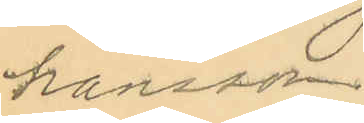hansson.
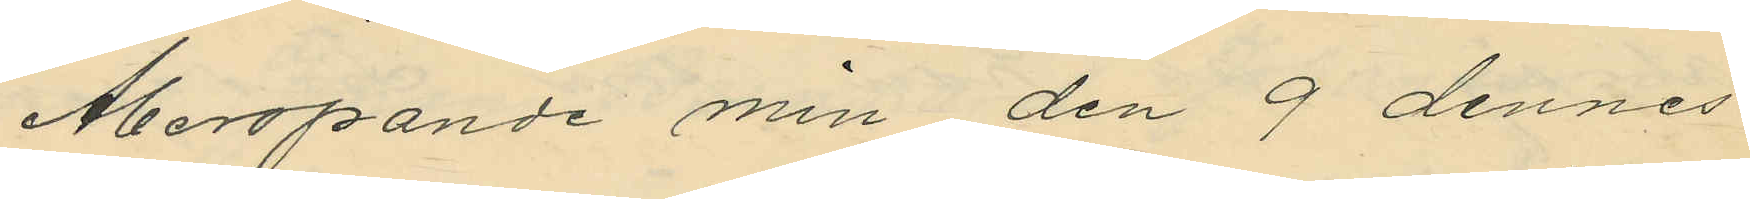Åberopande min den 9 dennes
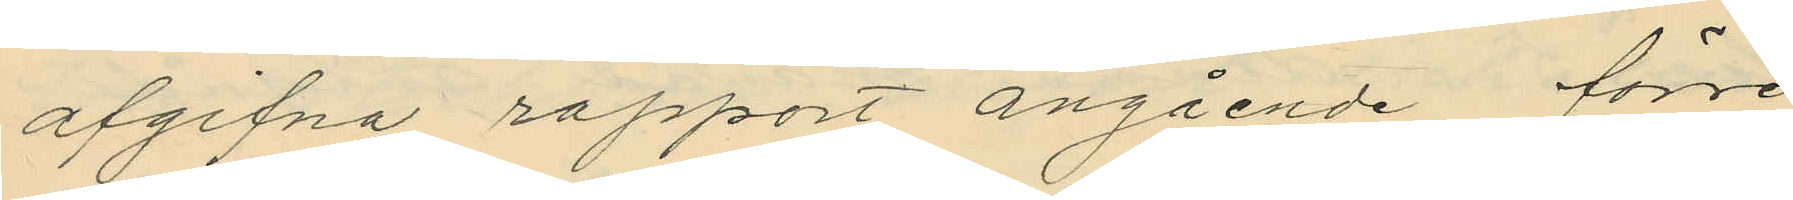afgifna rapport angående förre
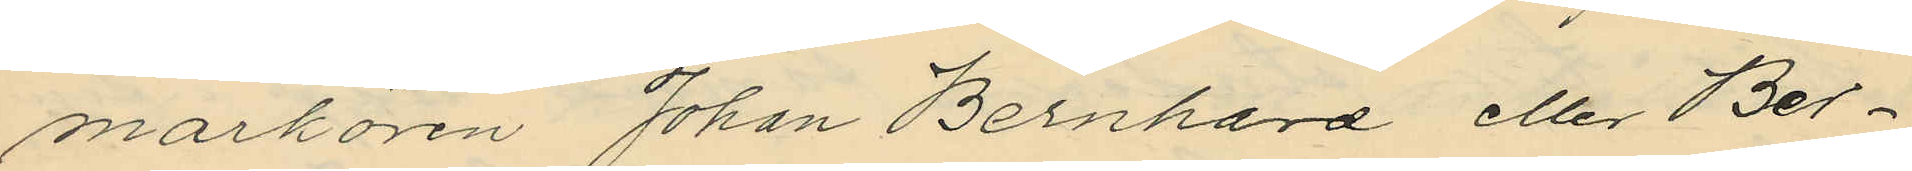markören Johan Bernhard eller Ber¬
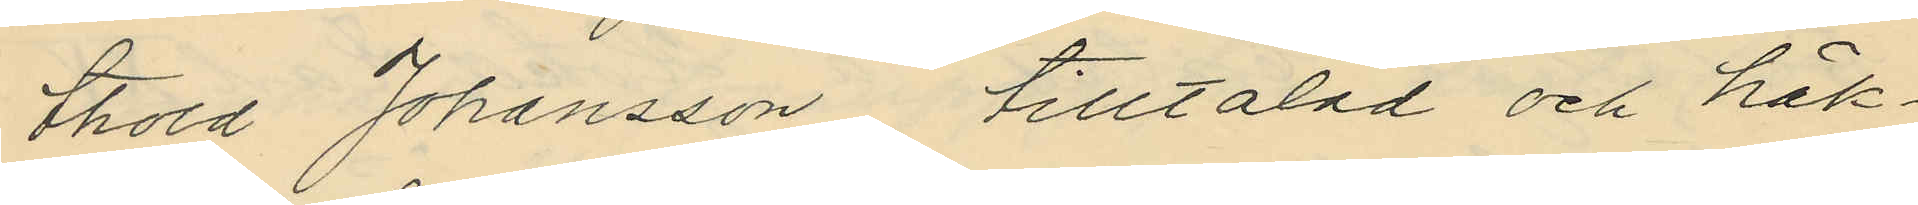thold Johansson, tilltalad och häk¬
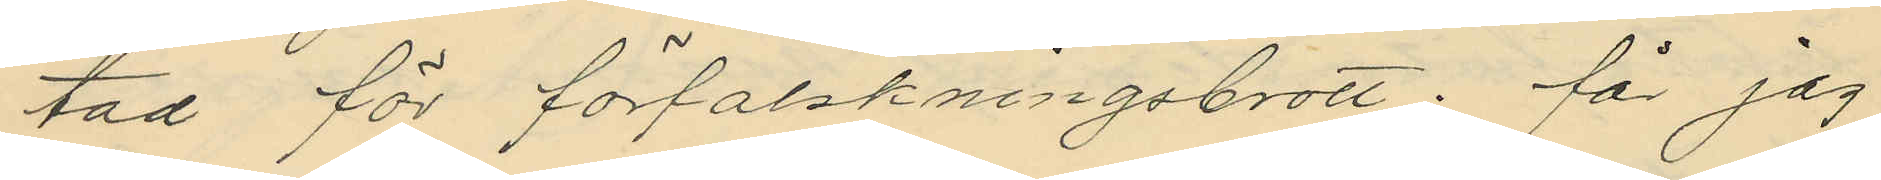tad för förfalskningsbrott; får jag
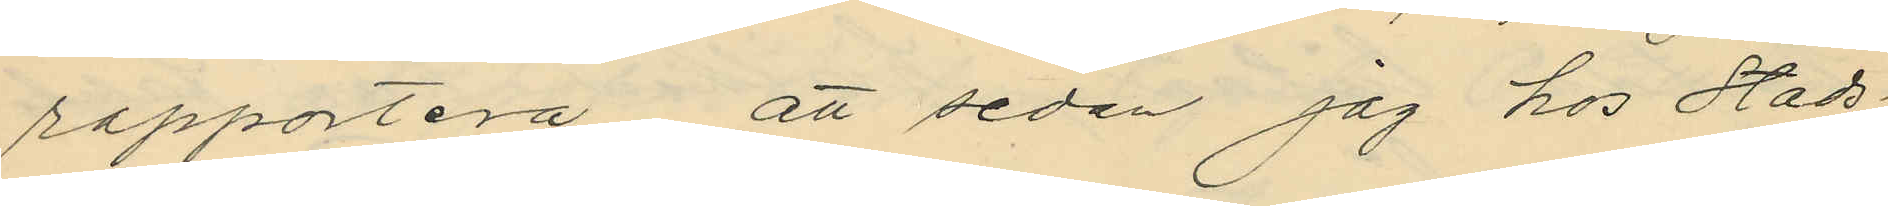rapportera, att sedan jag hos Stads¬
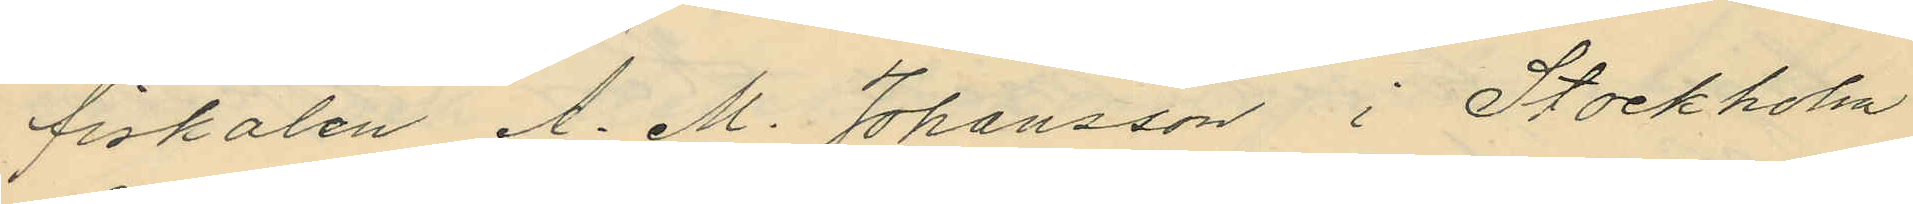fiskalen A. M. Johansson i Stockholm
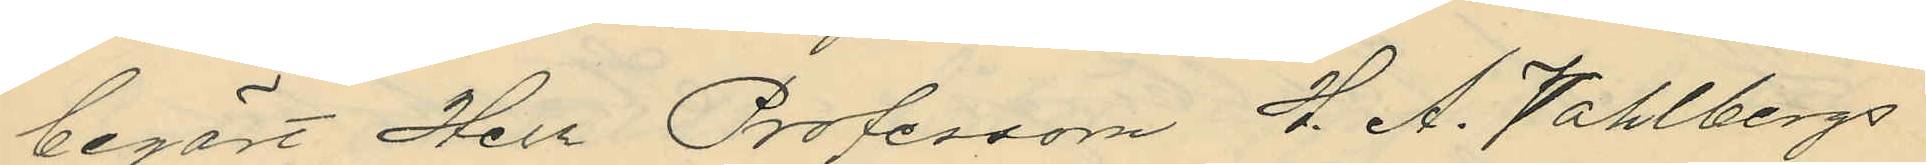begärt Herr Professorn H. A. Vahlbergs
